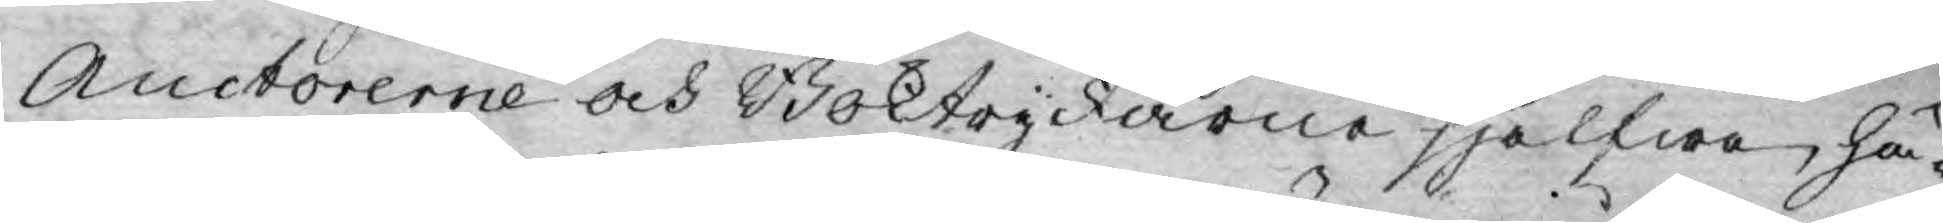Auctorerne och Boktryckarne sjelfwe, hä¬
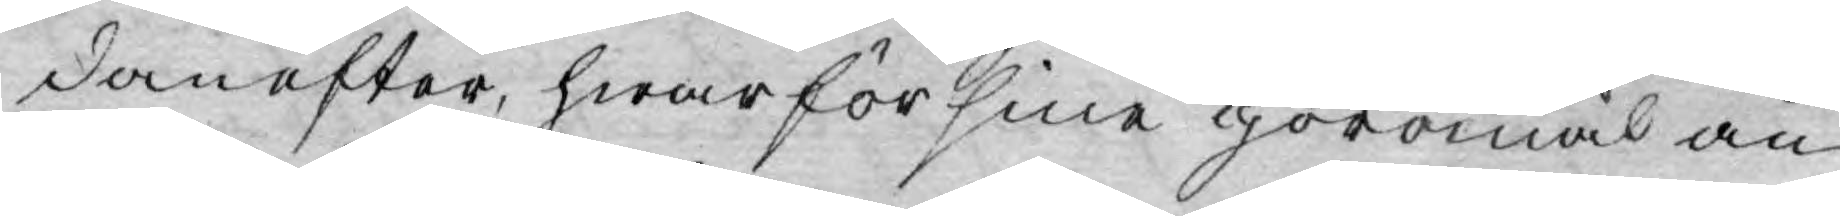danefter, hwarför sine göromål an-
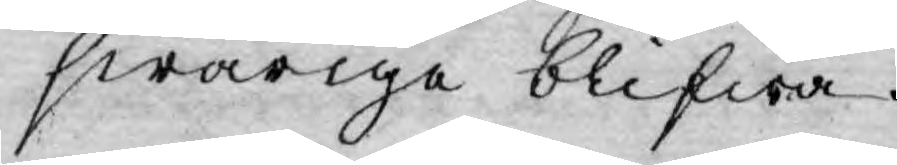swarige blifwa.
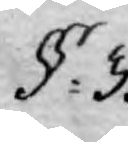§. 3.
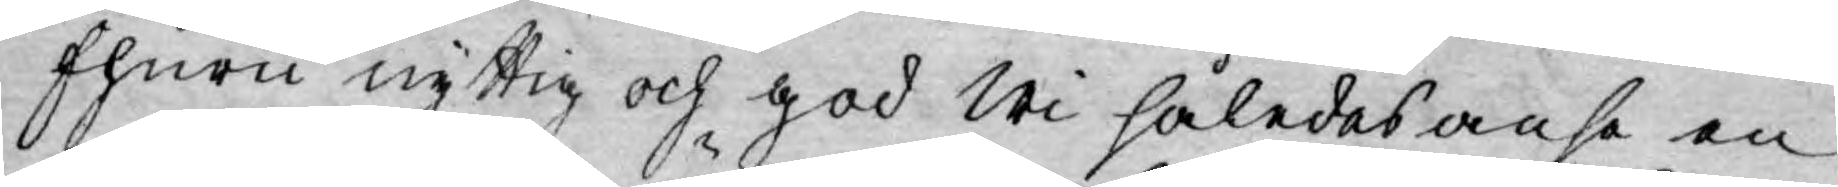Ehuru nyttig och god Wi således anse en
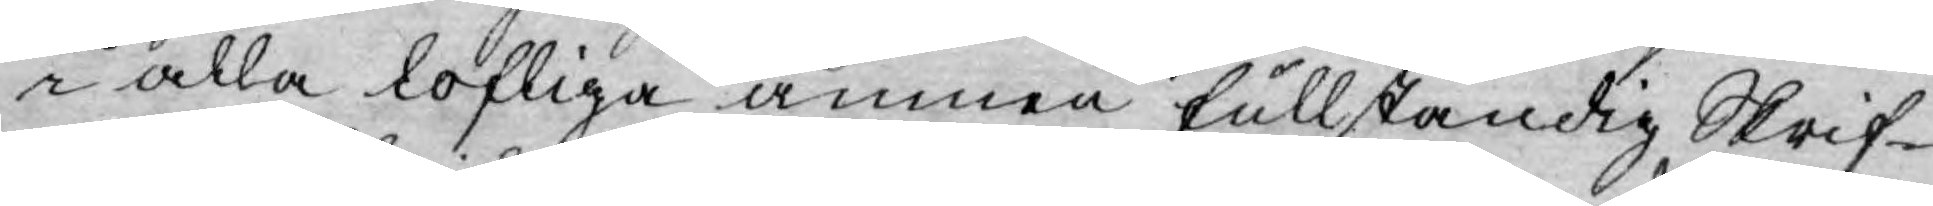i alla lofliga ämnen fullständig Skrif¬
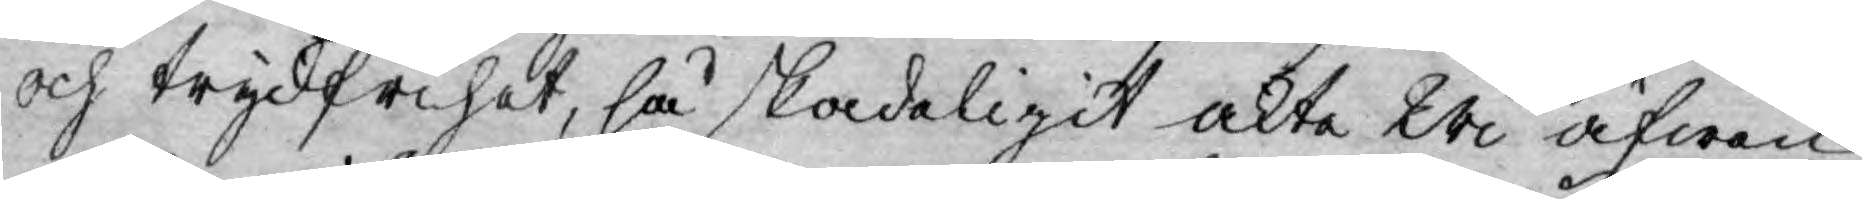och tryckfrihet, så skadeligit akta Wi äfwen
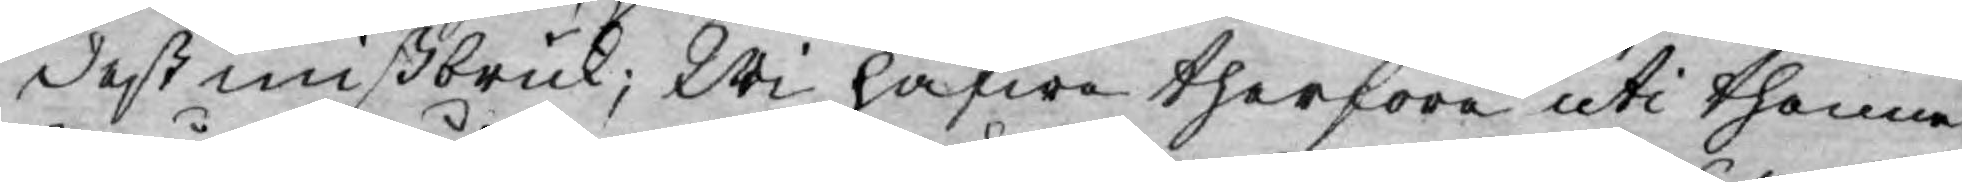deß missbruk; Wi hafwa therföre uti thenne
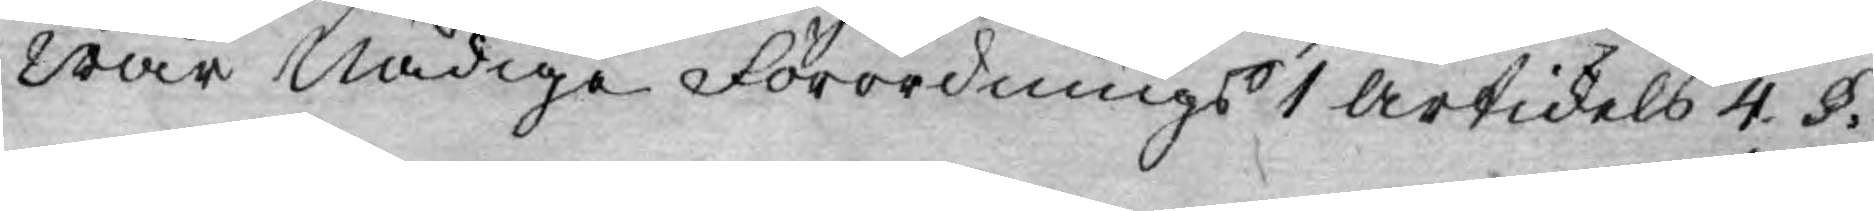Wår Nådige Förordnings 1 articels 4. §.
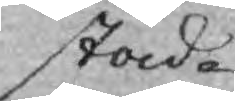stada
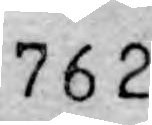762
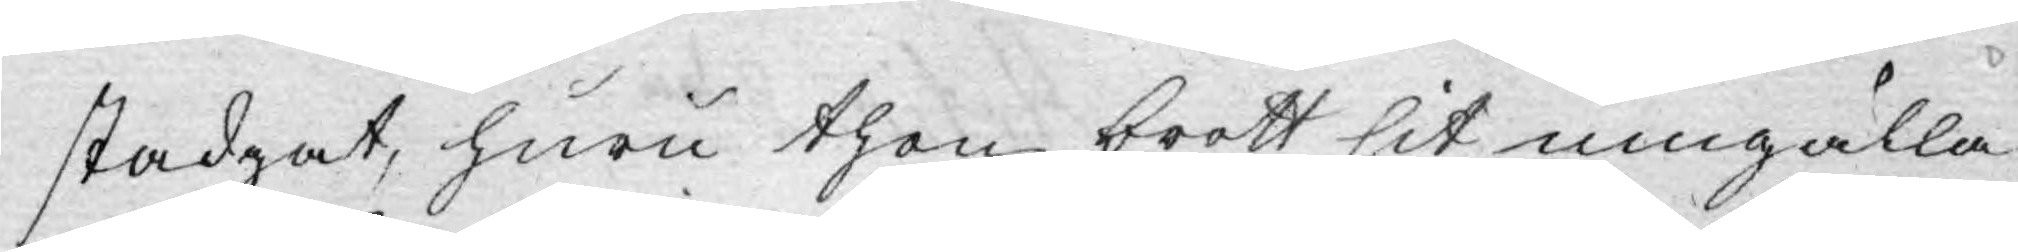stadgat, huru then brott sit umgälla
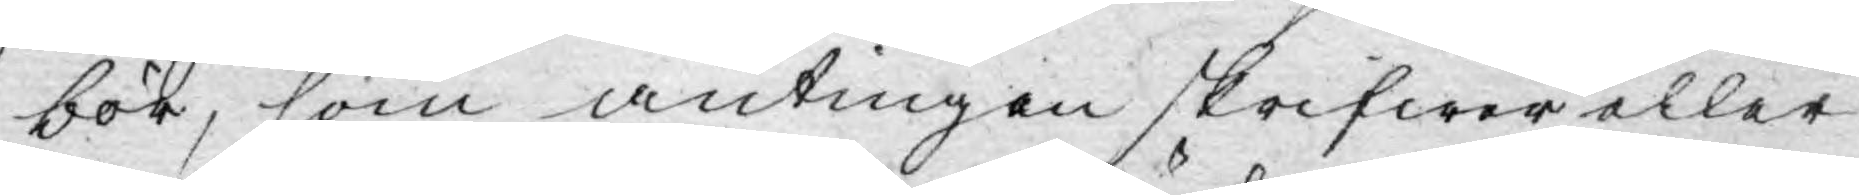bör, som antingen skrifwer eller
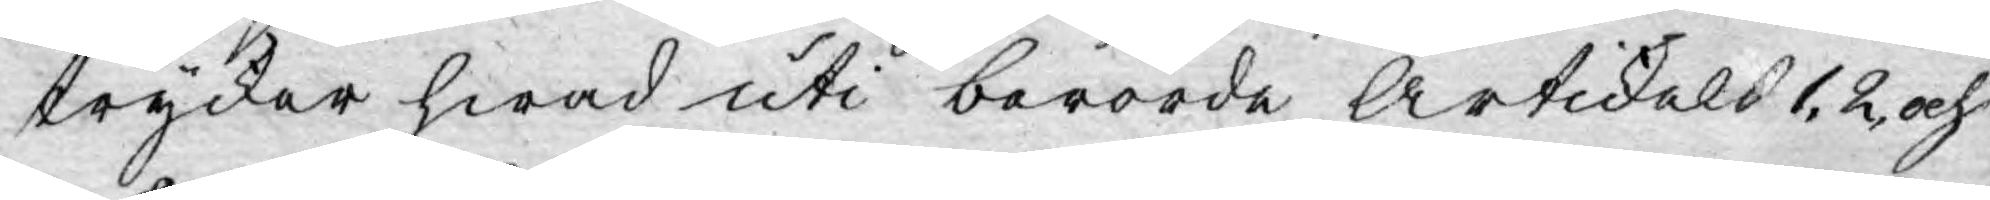trycker hwad uti berörde Artikels 1, 2, och
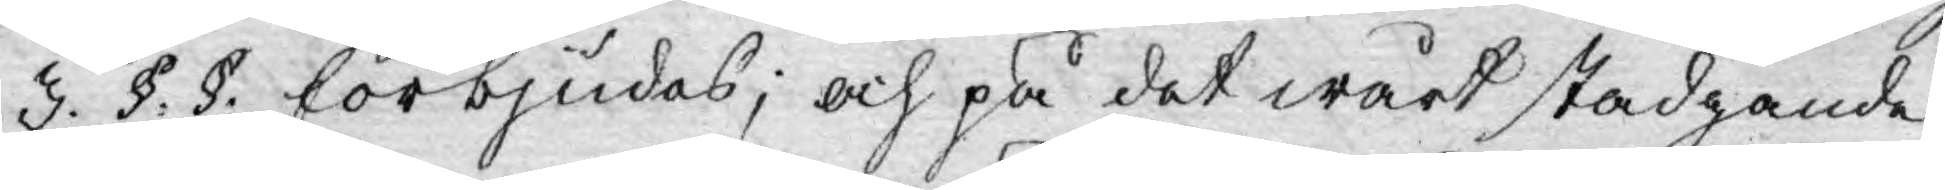3. §. §: förbjudas; och på det wårt stadgande
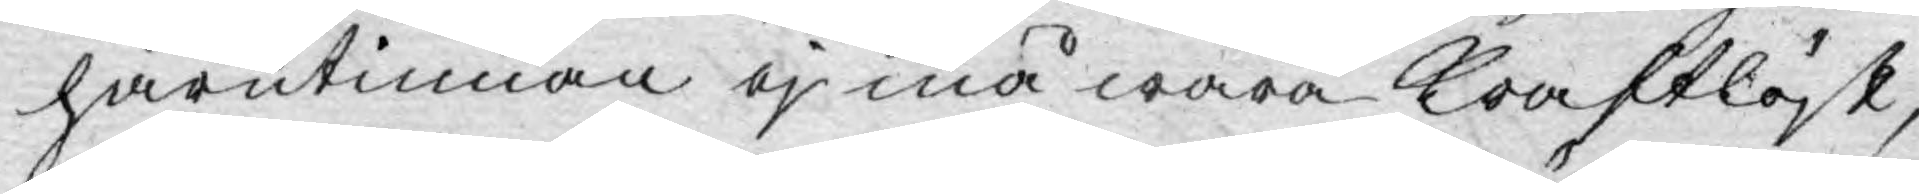härutinnan ej må wara kraftlöst,
